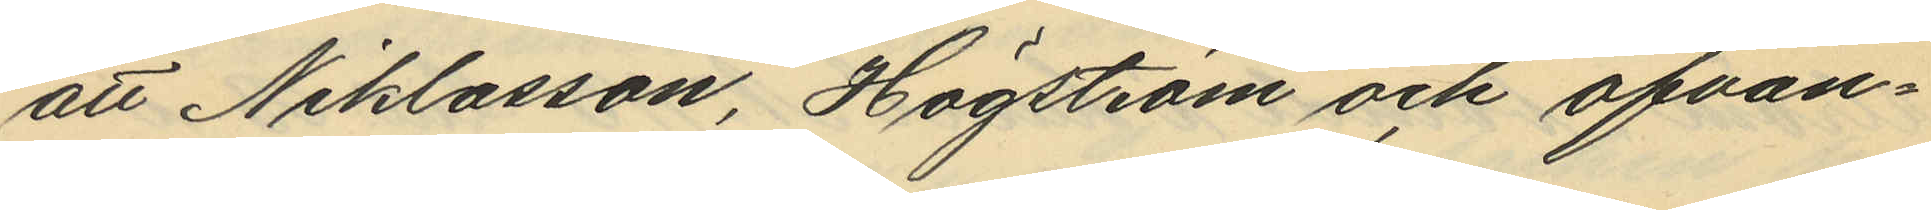att Niklasson, Högström och ofvan¬
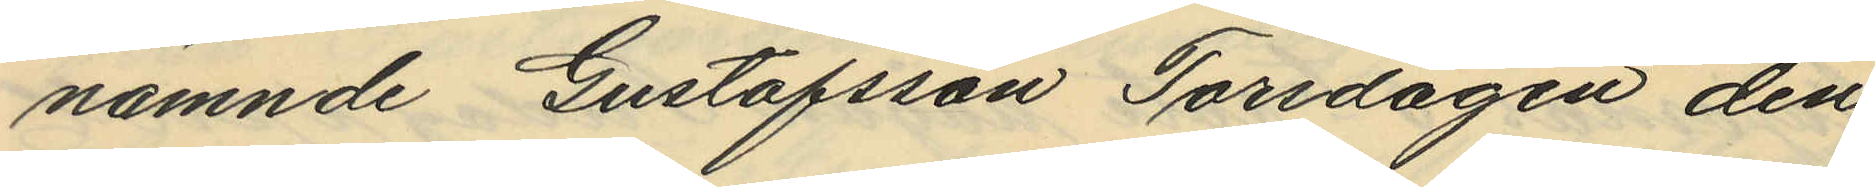nämnde Gustafsson Torsdagen den
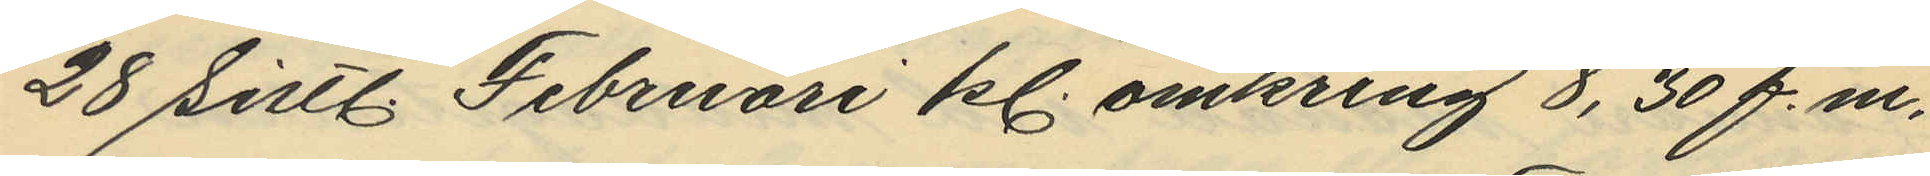28 sistl. Februari kl. omkring 8, 30 f.m.
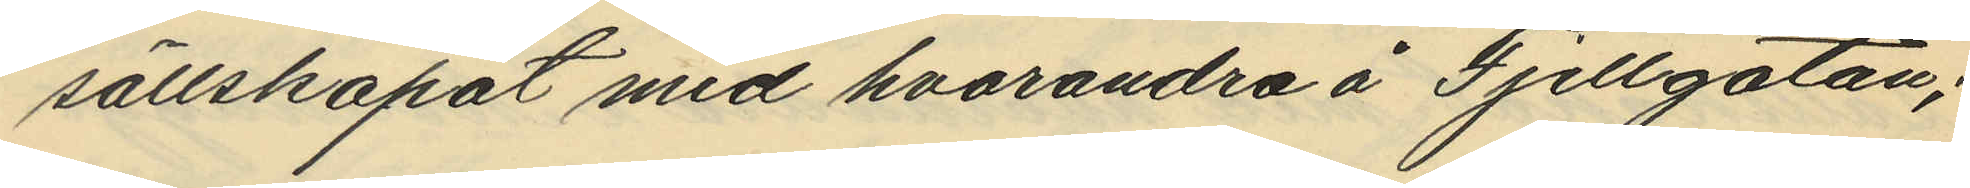sällskapat med hvarandra å Fjellgatan;
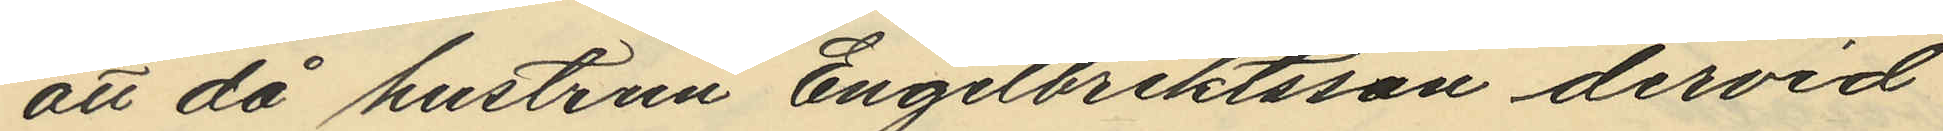att då hustrun Engelbrektsson dervid
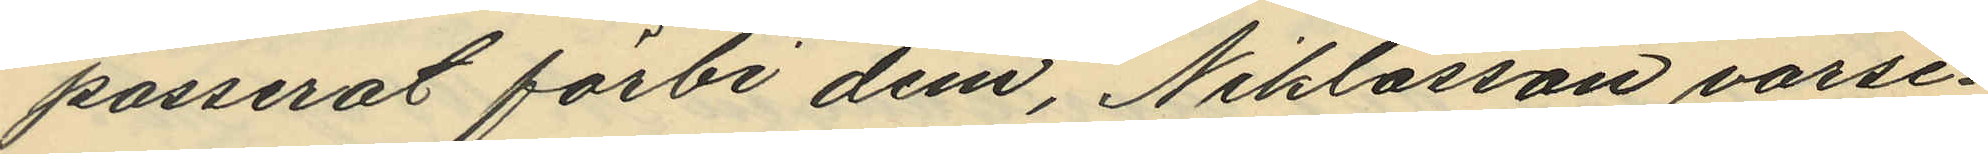passerat förbi dem, Niklasson varse¬
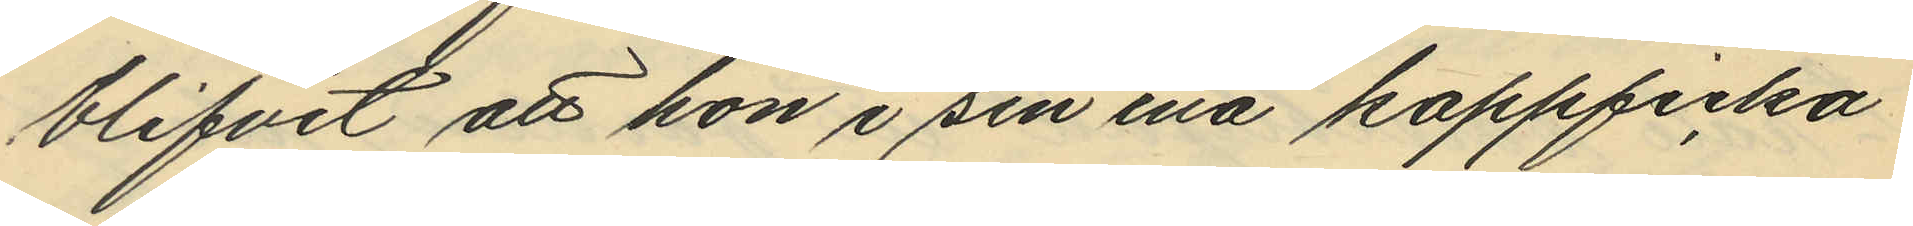blifvit att hon i sin ena kappficka
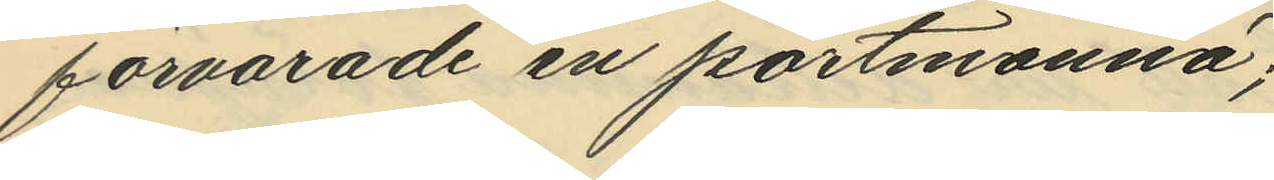förvarade en portmonnä;
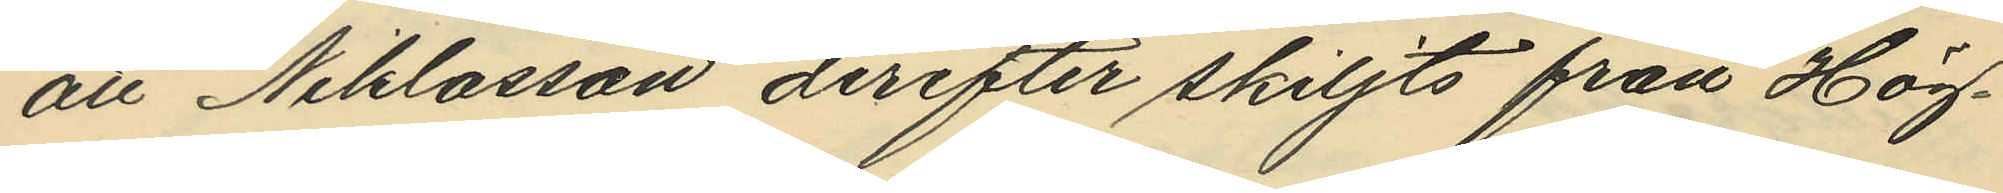att Niklasson derefter skiljts från Hög¬
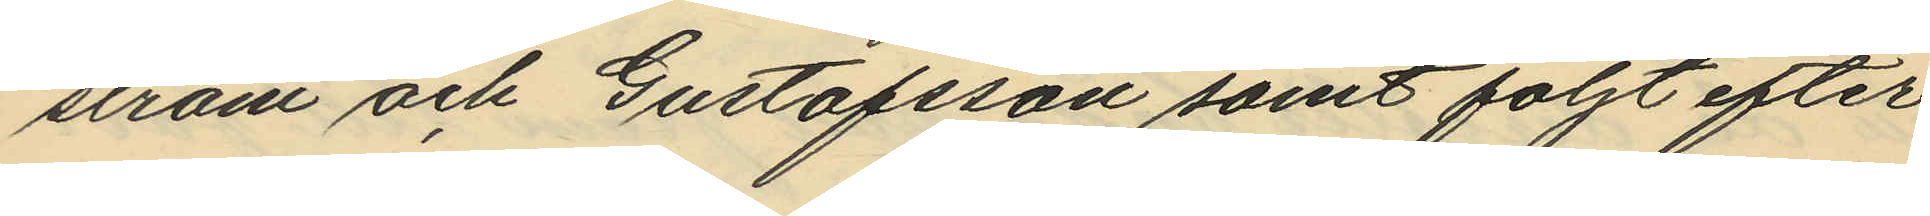ström och Gustafsson samt följt efter
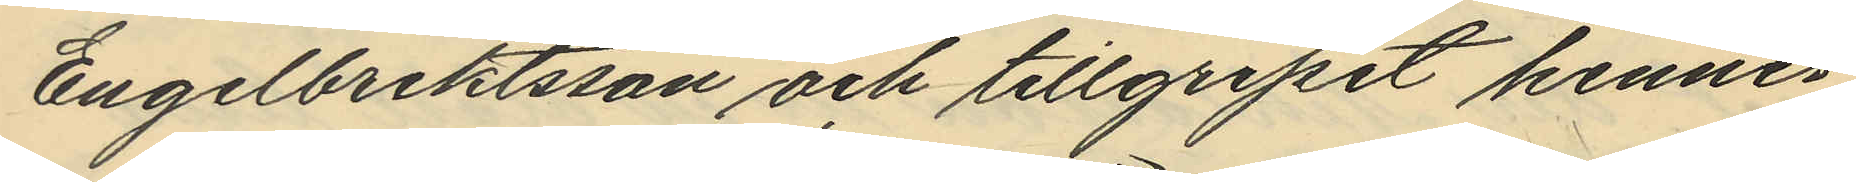Engelbrektsson och tillgripit hennes
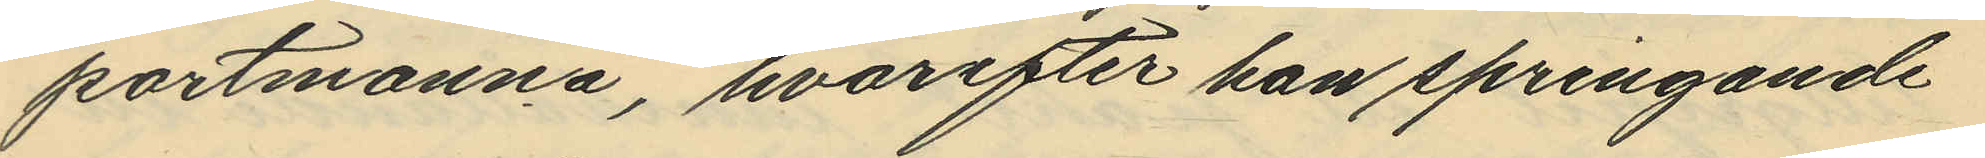portmonnä, hvarefter han springande
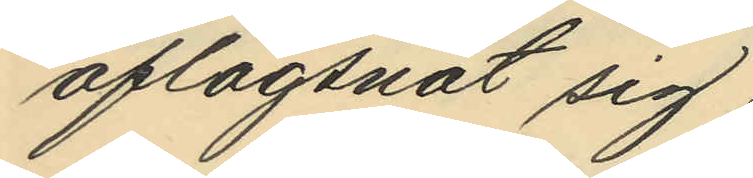aflägsnat sig;
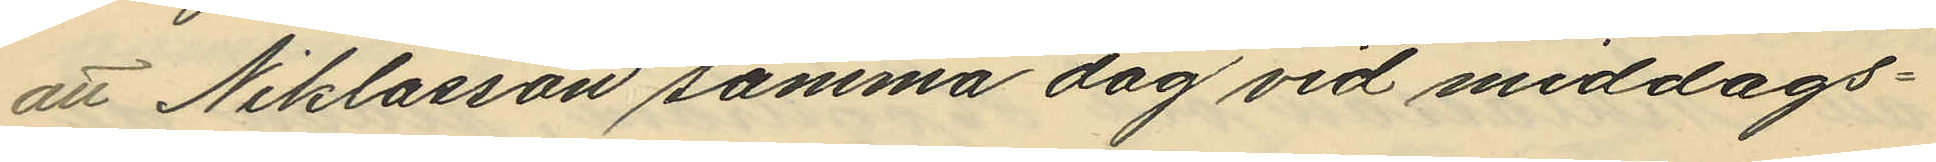att Niklasson samma dag vid middags¬
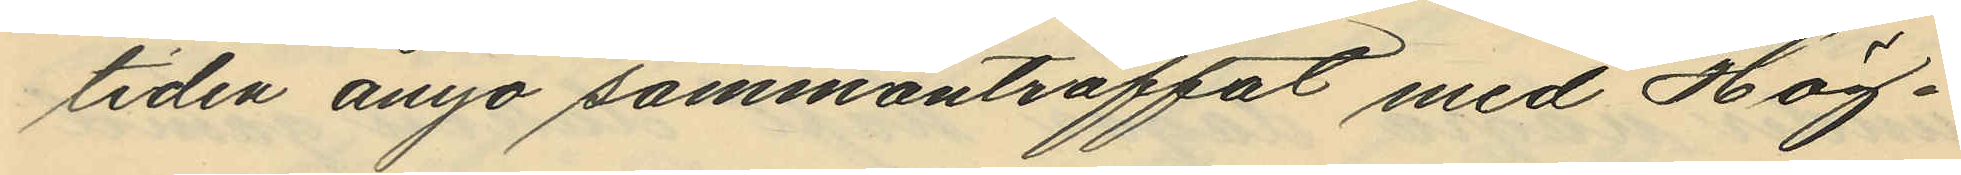tiden ånyo sammanträffat med Hög¬
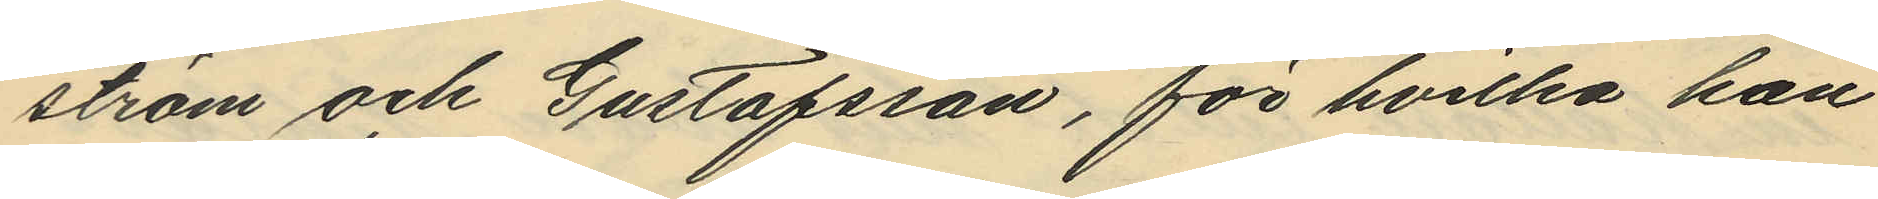ström och Gustafsson, för hvilka han
